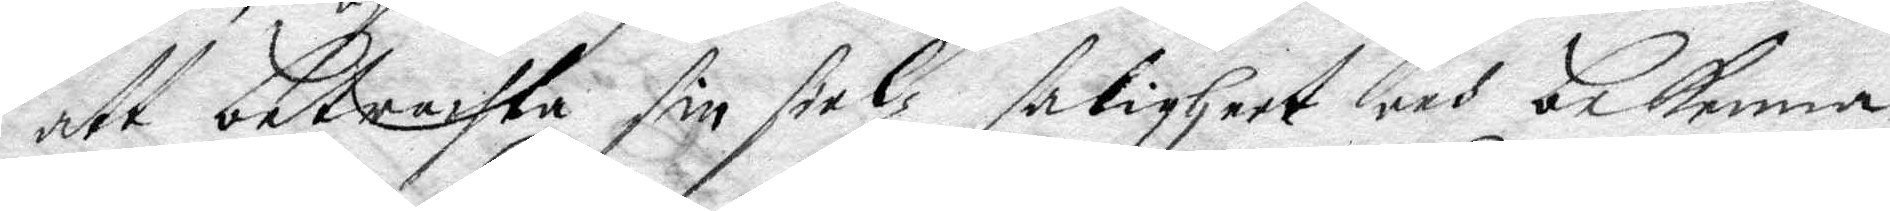att betrachta sin sielz saligheet och bekenna
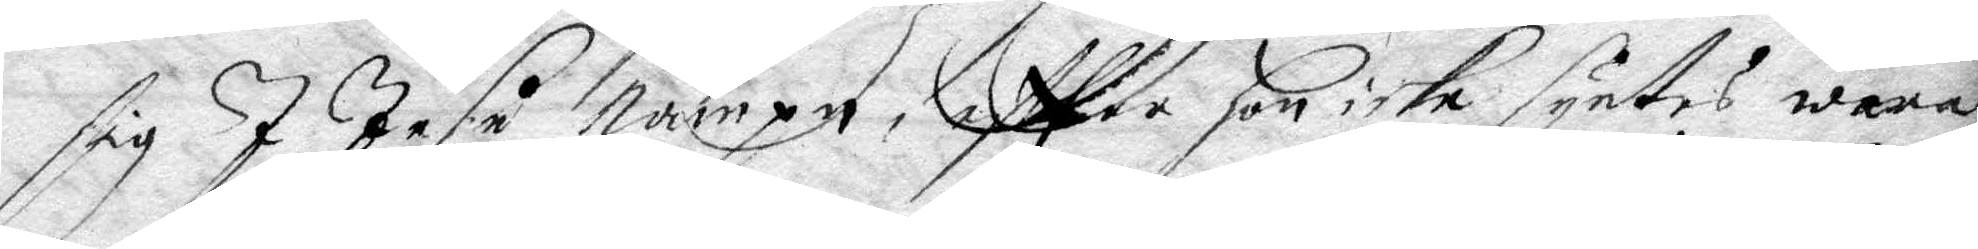sig IJ Jesu nampn, eftter hon icke syntes wara
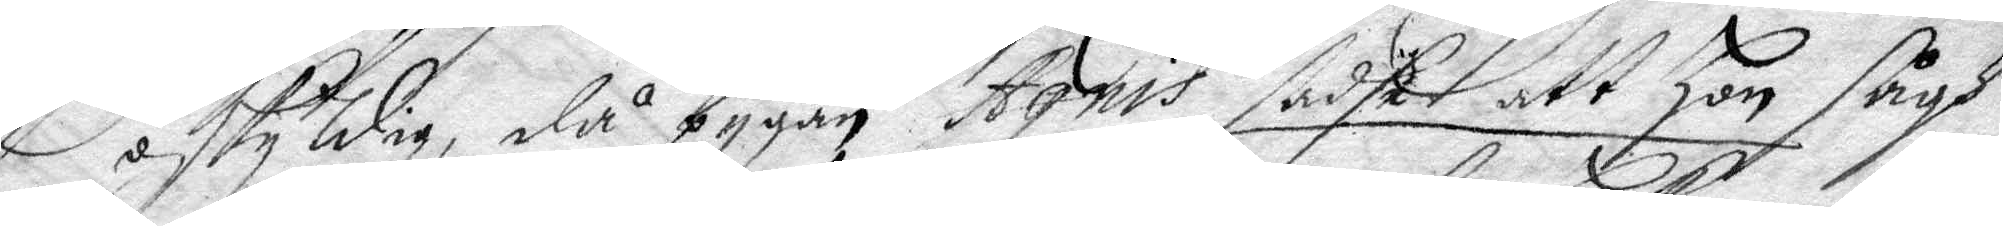oskyldig, då pygan Agnis sadhe att hon sågh
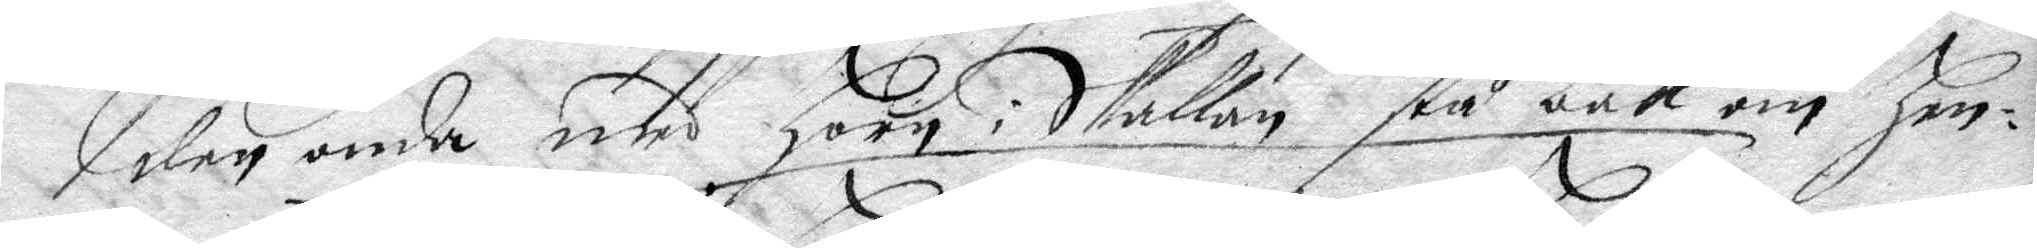den onde med horn i Skallan stå bakom hen¬
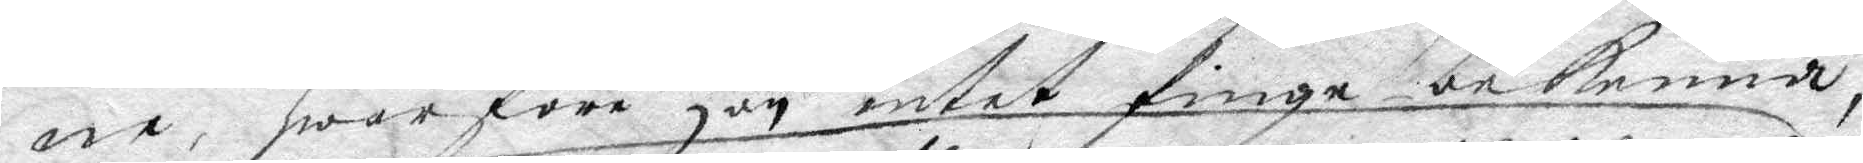ne, hwarföre hon intet finge bekenna,
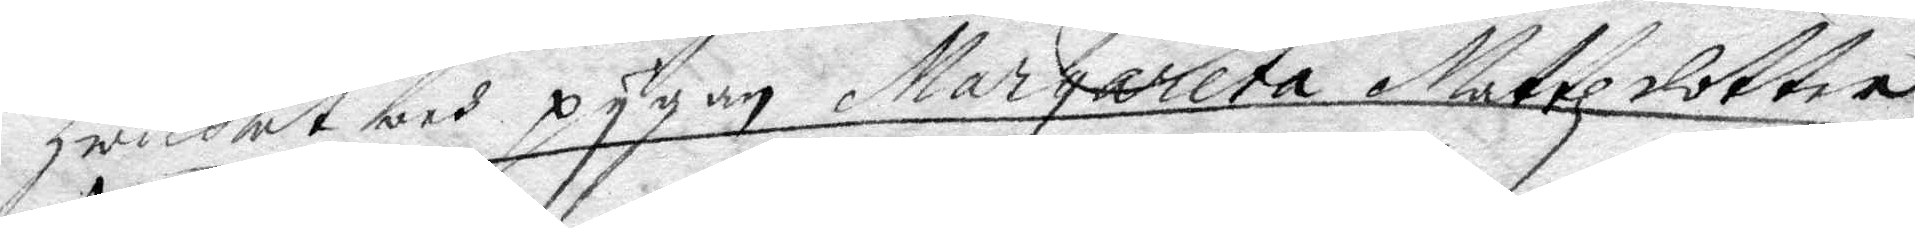hwilket och pygan Margareta Mattzdotter
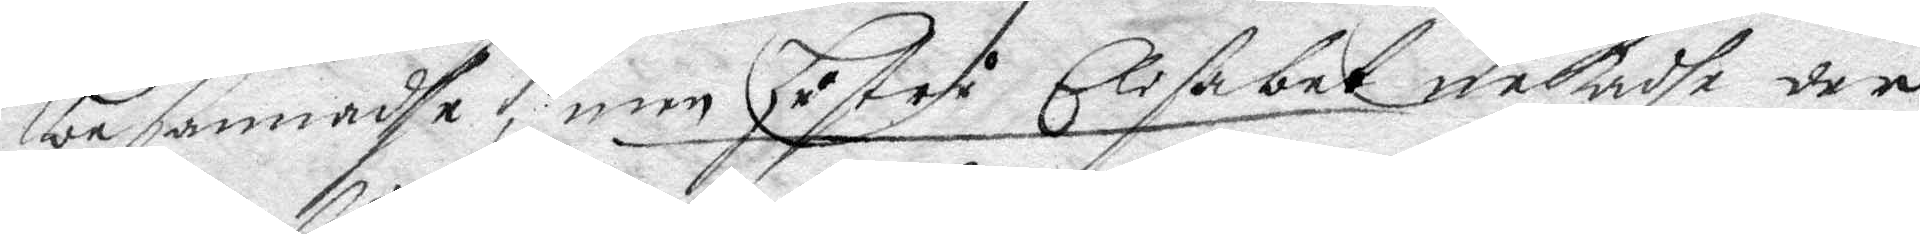besannadhe, men hustru Elisabet nekadhe der
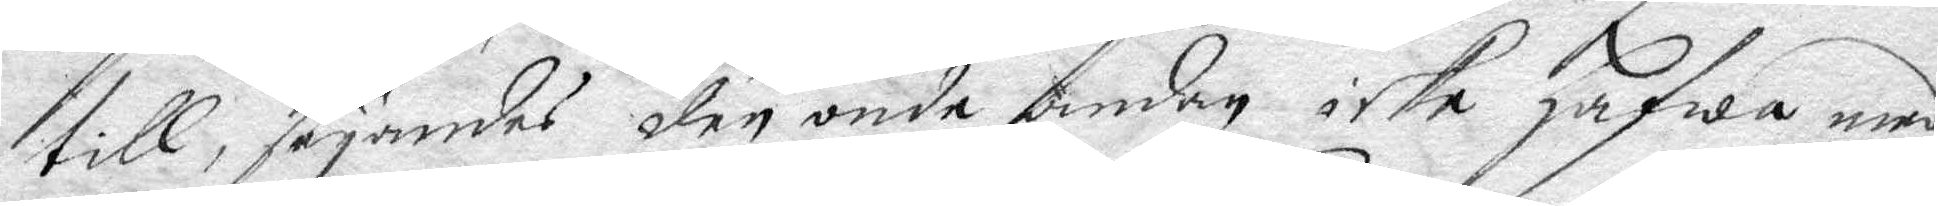till, säyandes den onde andan icke hafwa med
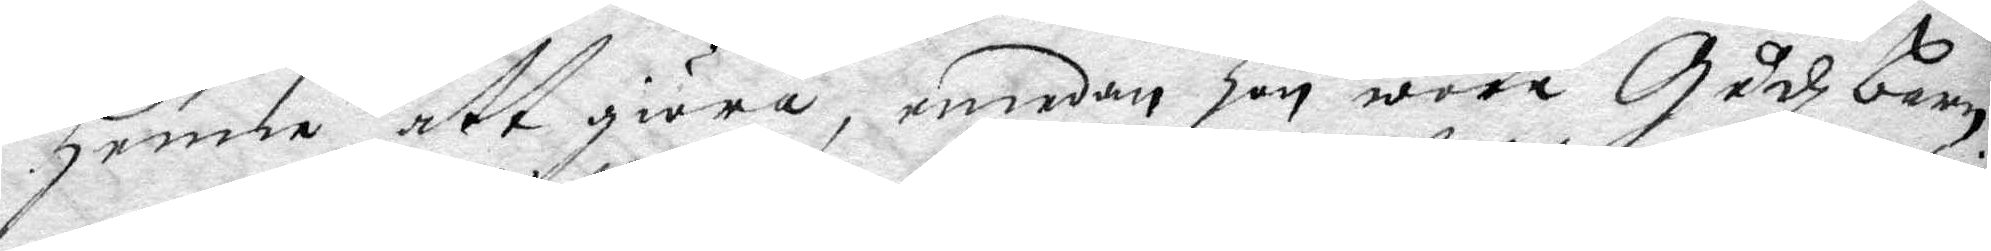henne att giöra, emedan hon wore Gudz barn
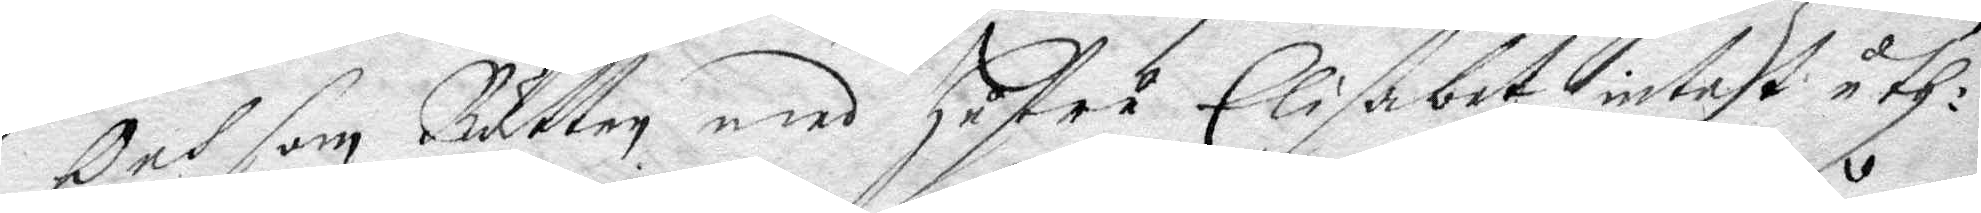och som Rätten med hustru Elisabet intet uth¬
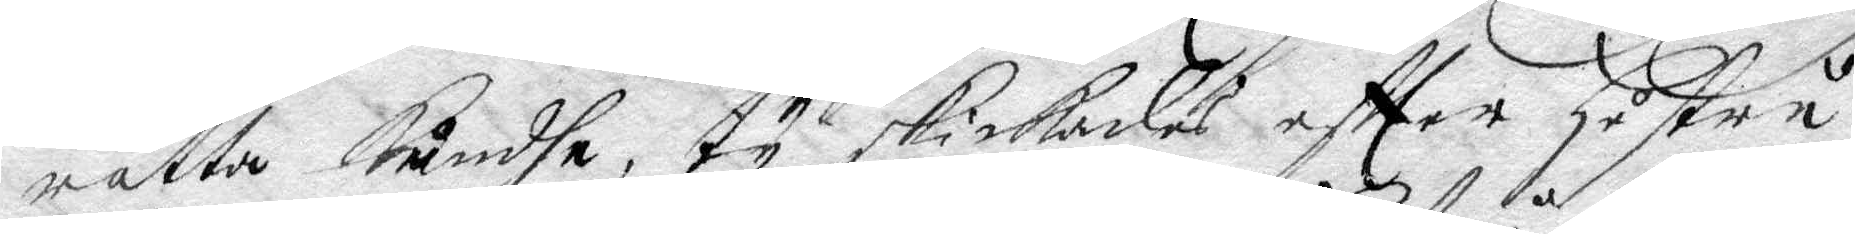rätta kundhe, ty skickades eftter hustru
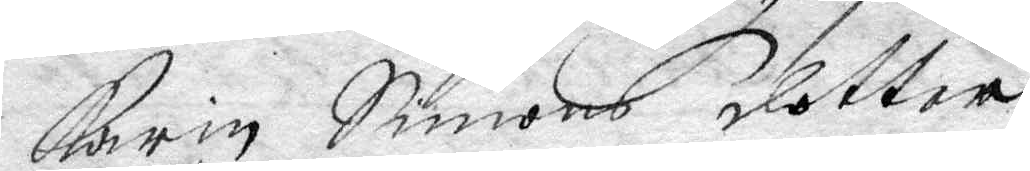Karin Simons dotter
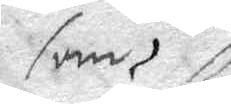som
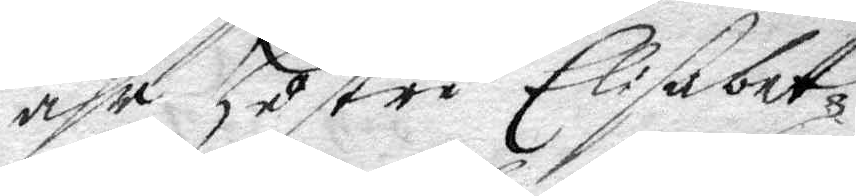ähr hustru Elisabets
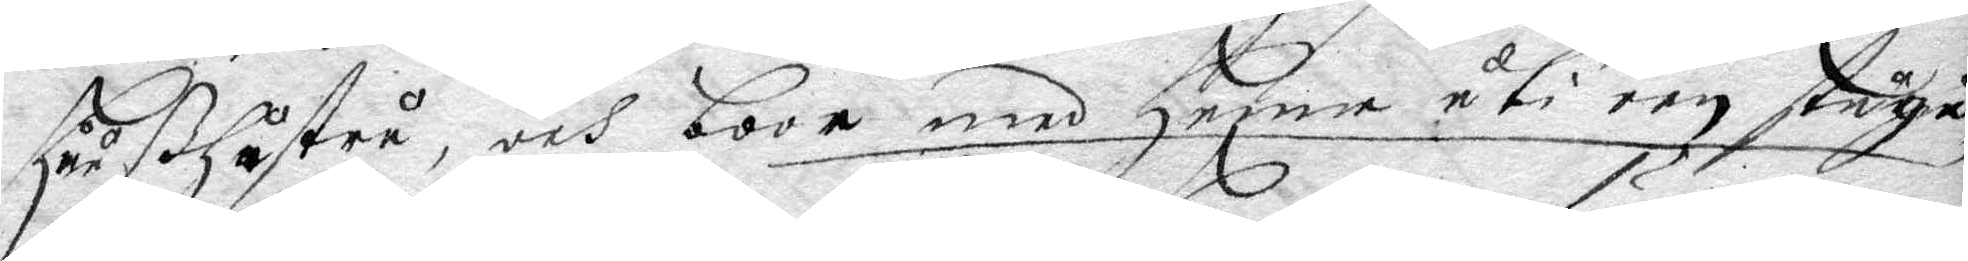huußhustru, och boor med henne uti een stugu
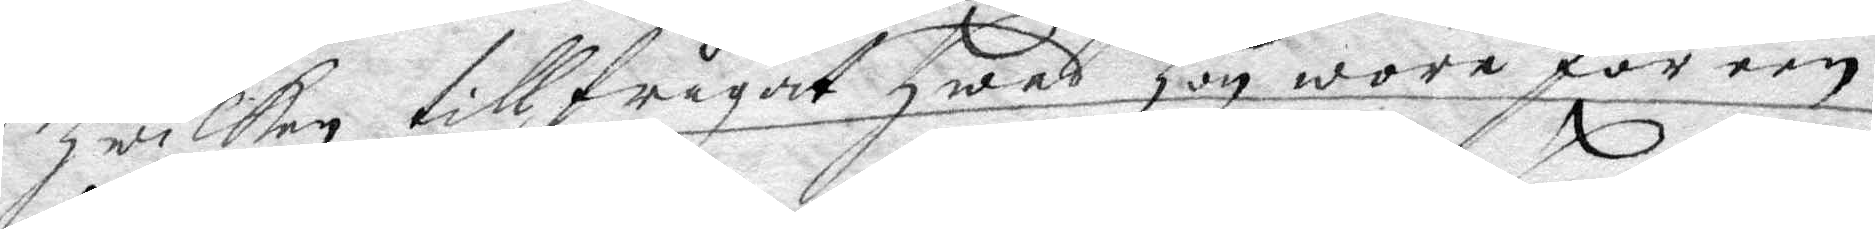hwilken tillfrågat hwad hon wore för een,
